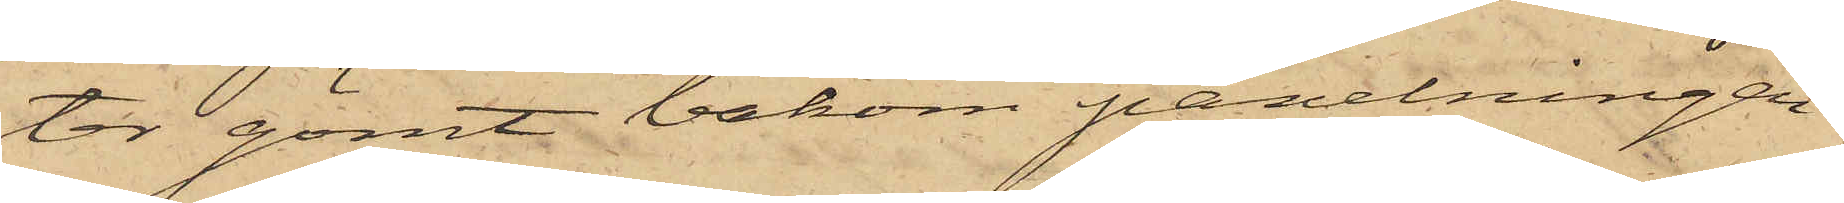ter gömt bakom panelningen
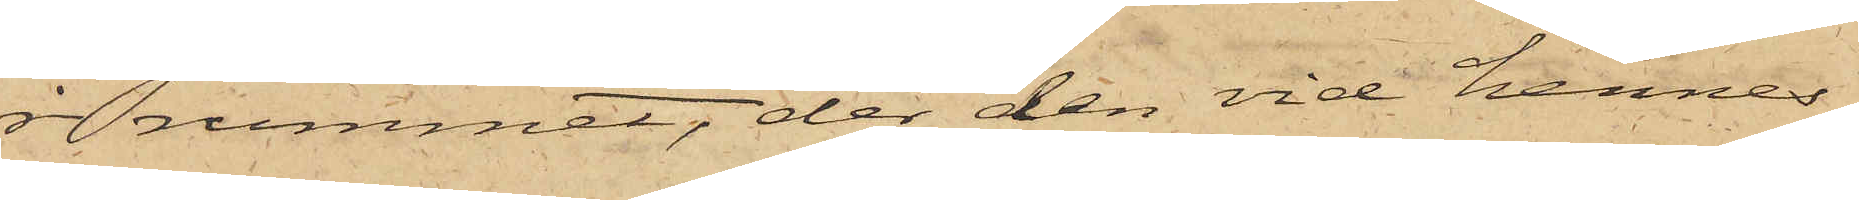 i rummet, der den vid hennes
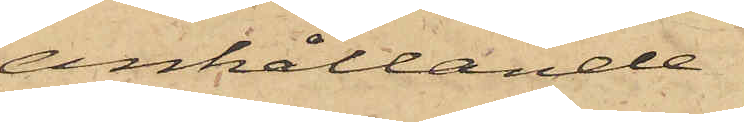anhållande
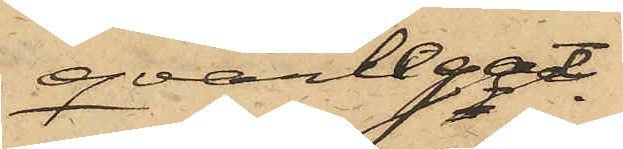qvarlegat.
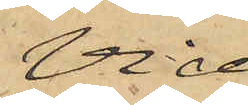Vid
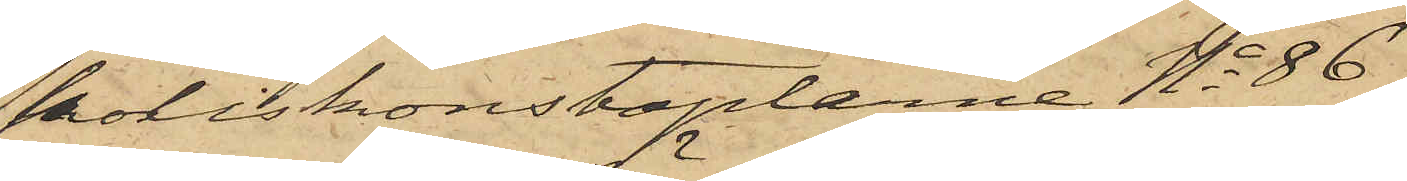Poliskonstaplarne No 86
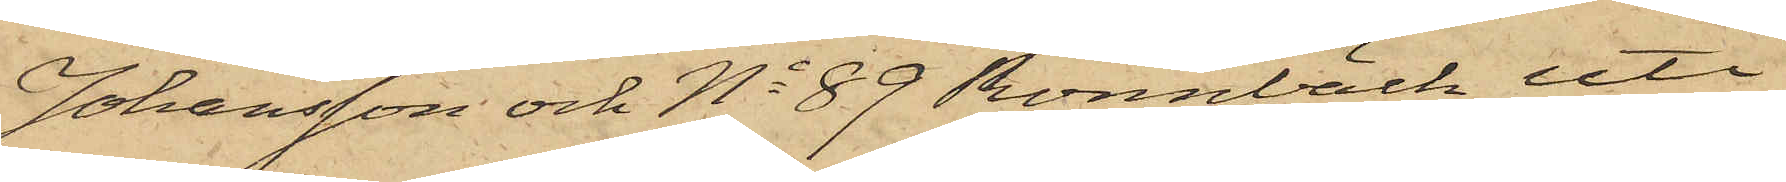Johansson och No 89 Rönnbäck uti
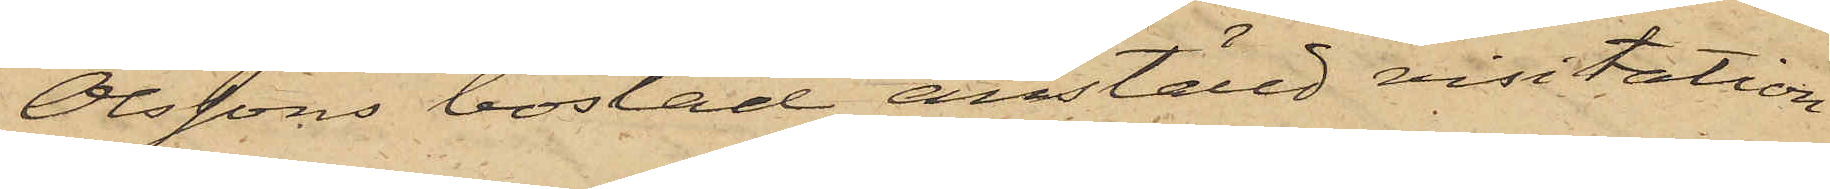Olssons bostad anställd visitation
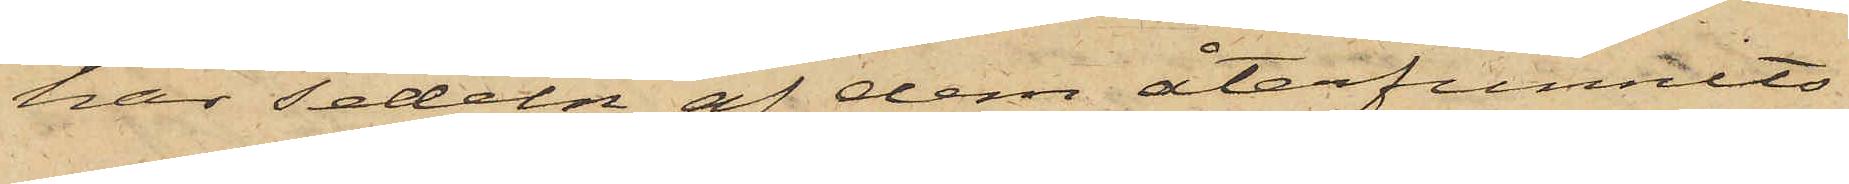har sedeln af dem återfunnits
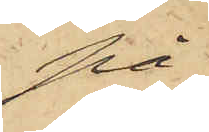på
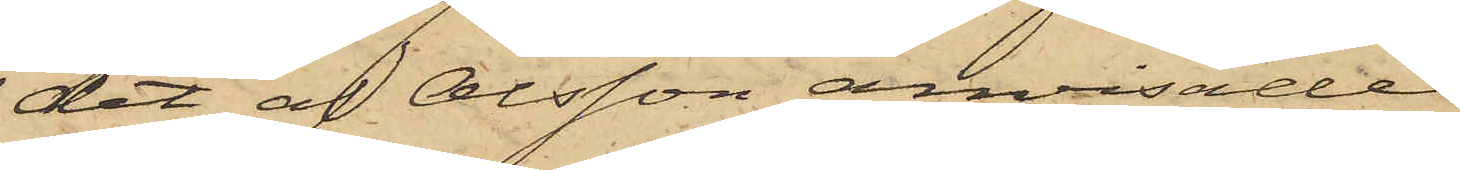det af Olsson anvisade
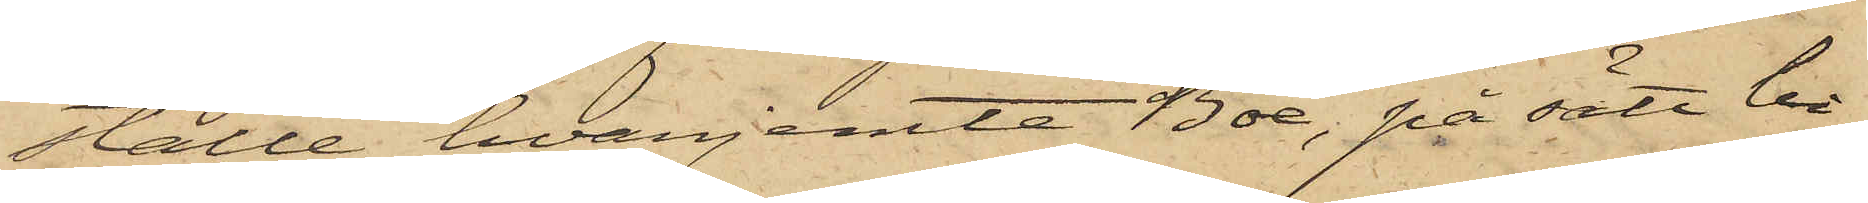ställe, hvarjemte Boe, på sätt bi¬
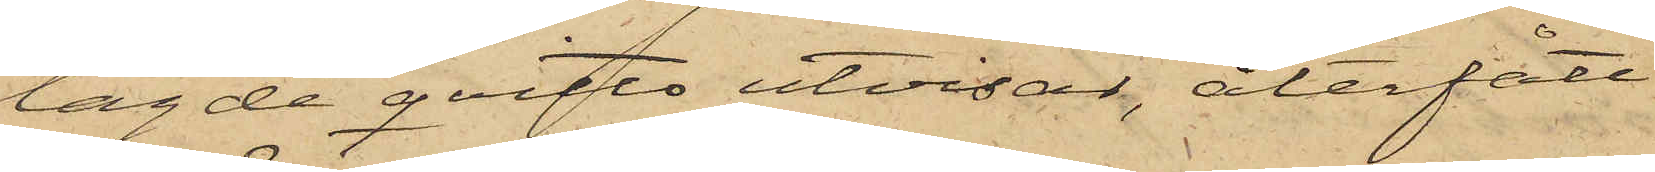lagde qvitto utvisar, återfått
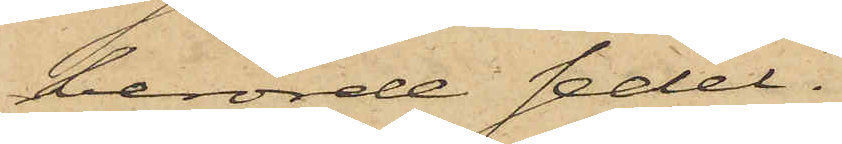berörde sedel.
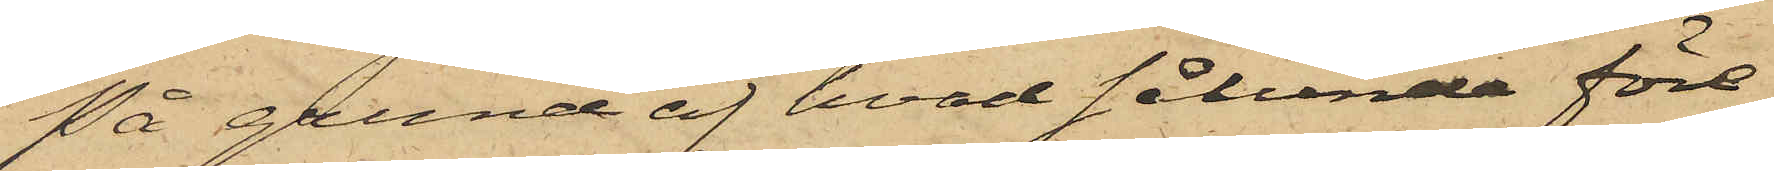På grund af hvad sålunda före¬
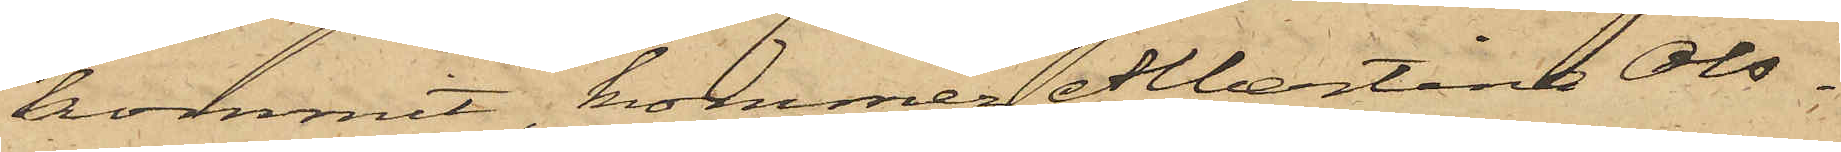kommit, kommer Albertina Ols¬
